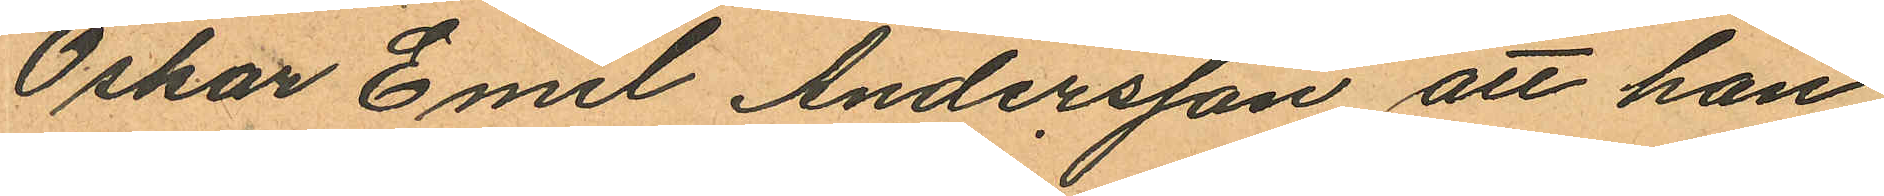Oskar Emil Andersson att han
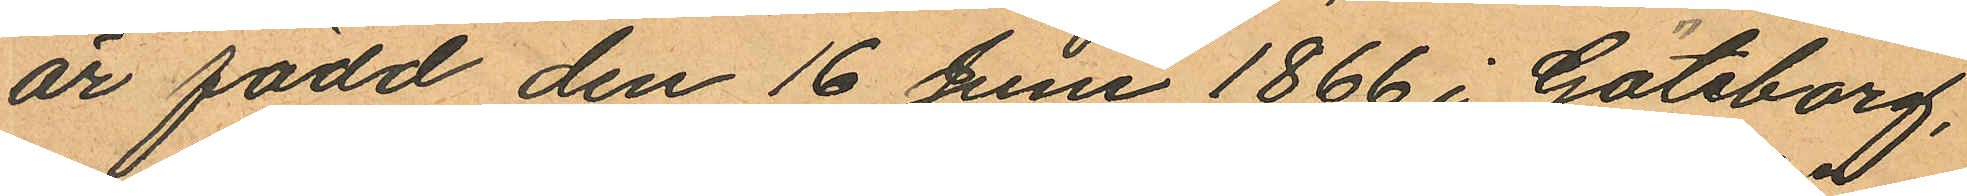är född den 16 Juni 1866 i Göteborg,
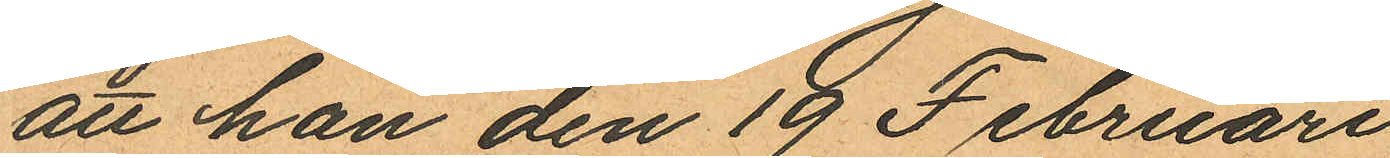att han den 19 Februari
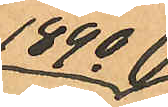1890
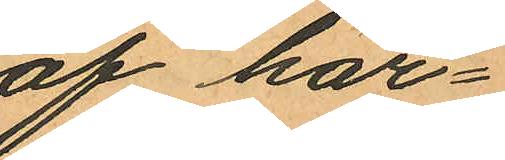af här¬
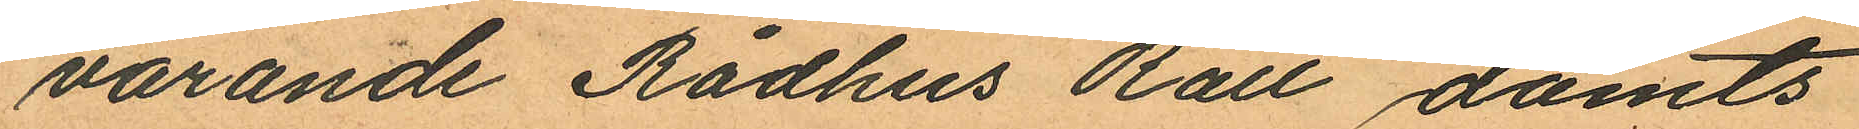varande Rådhus Rätt dömts
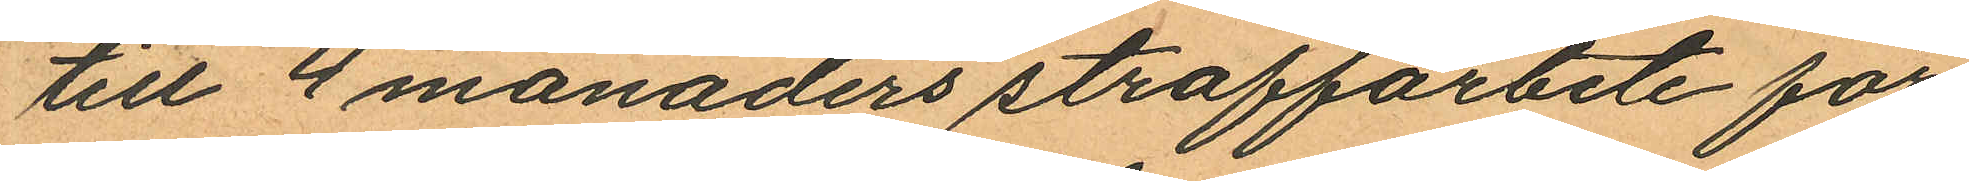till 4 månaders straffarbete för
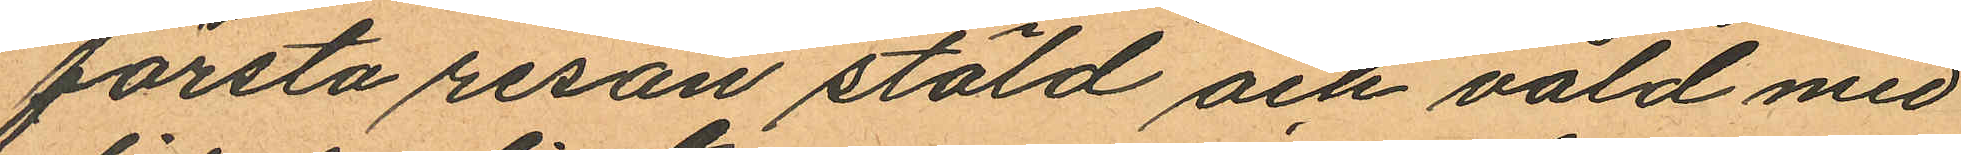första resan stöld och våld med
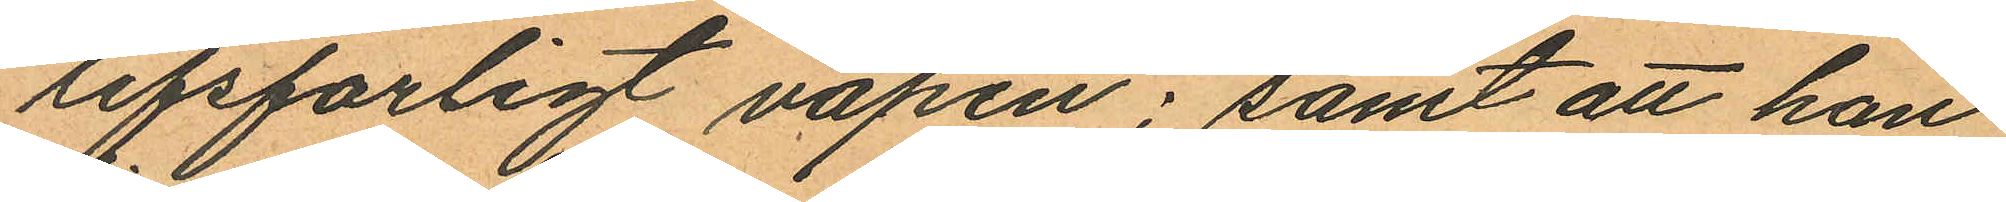lifsfarligt vapen; samt att han
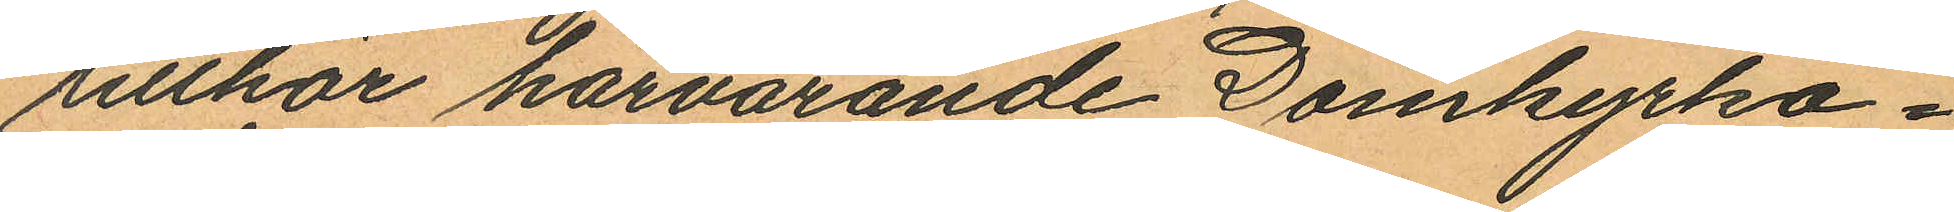tillhör härvarande Domkyrko¬
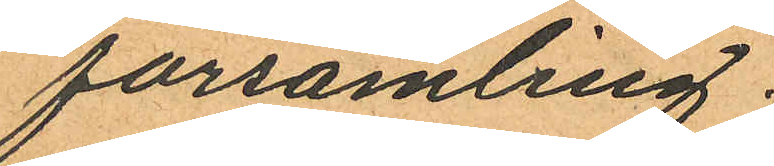församling.
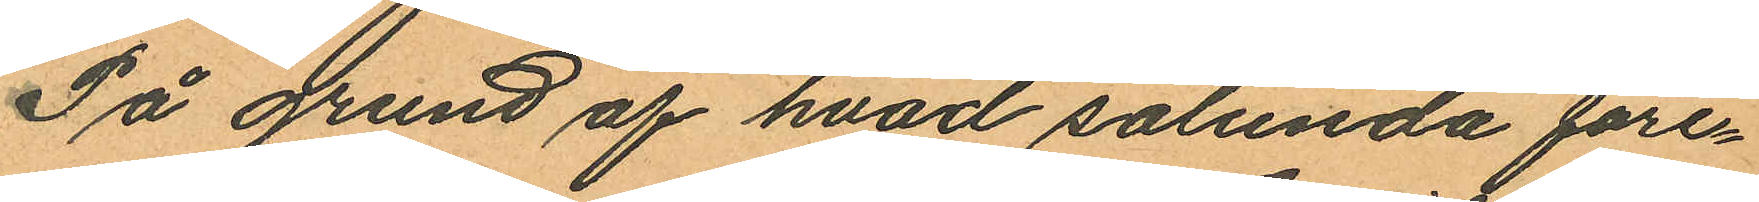På grund af hvad sålunda före¬
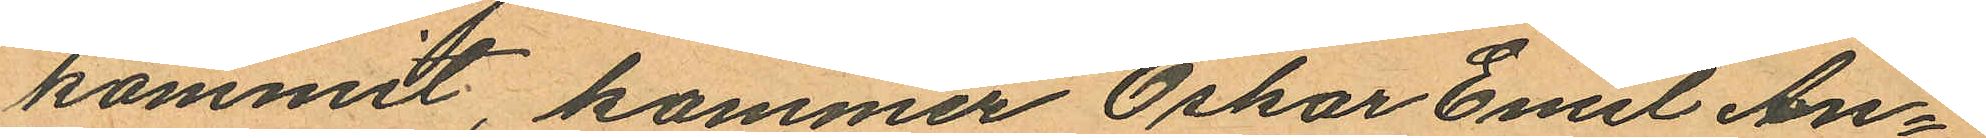kommit, kommer Oskar Emil An¬
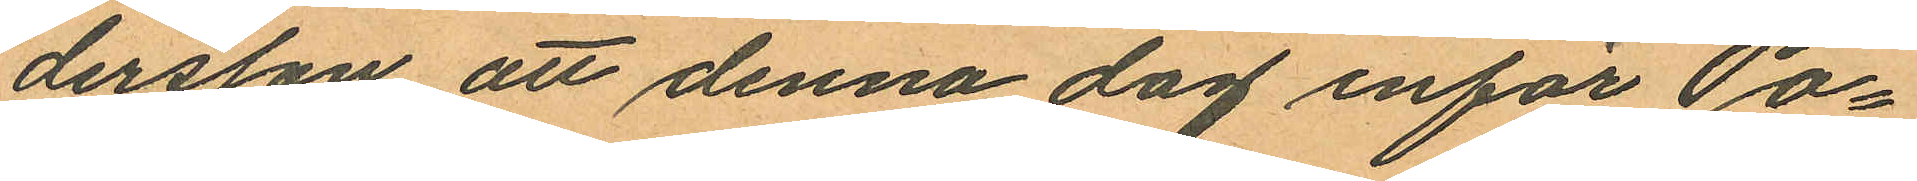dersson att denna dag inför Po¬
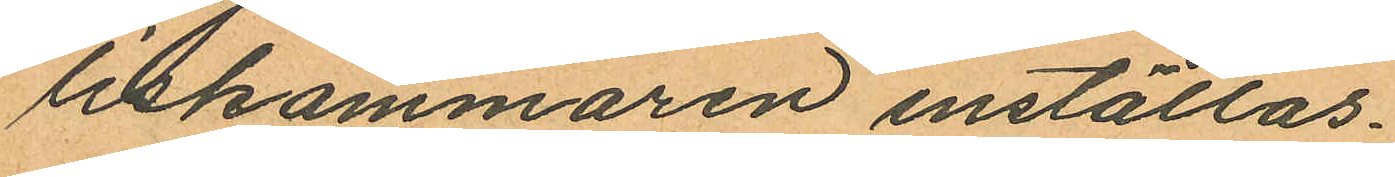liskammaren inställas.
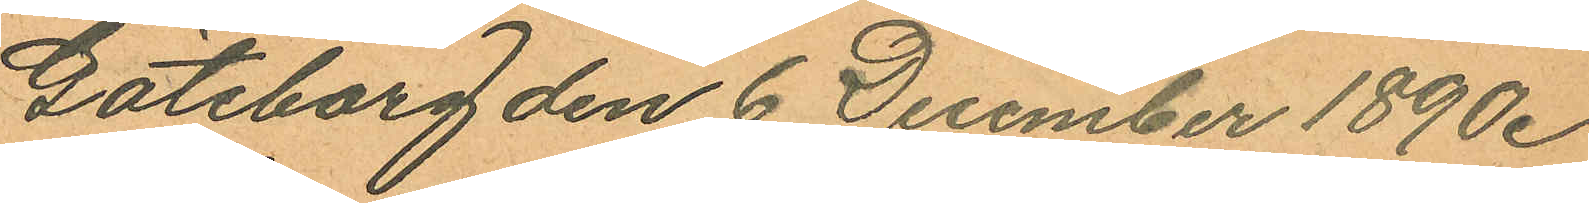Göteborg den 6 December 1890.
